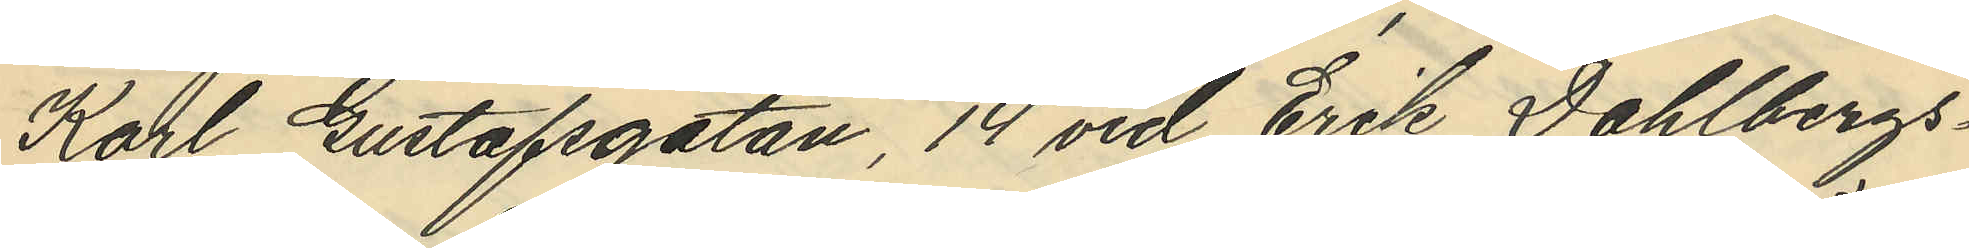Karl Gustafsgatan, 14 vid Erik Dahlbergs¬
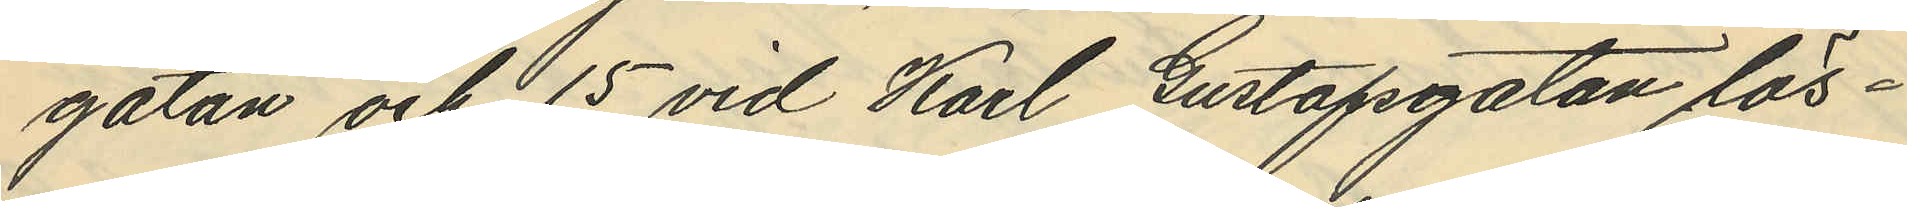gatan och 15 vid Karl Gustafsgatan lös¬
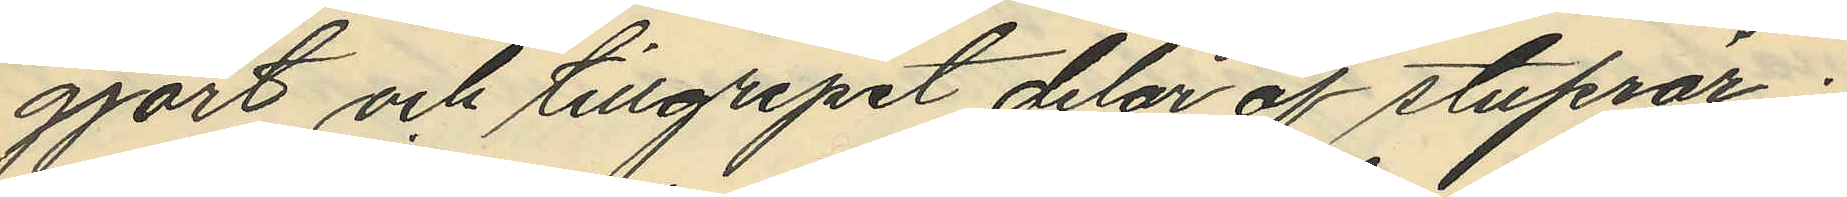gjort och tillgripit delar af stuprör;
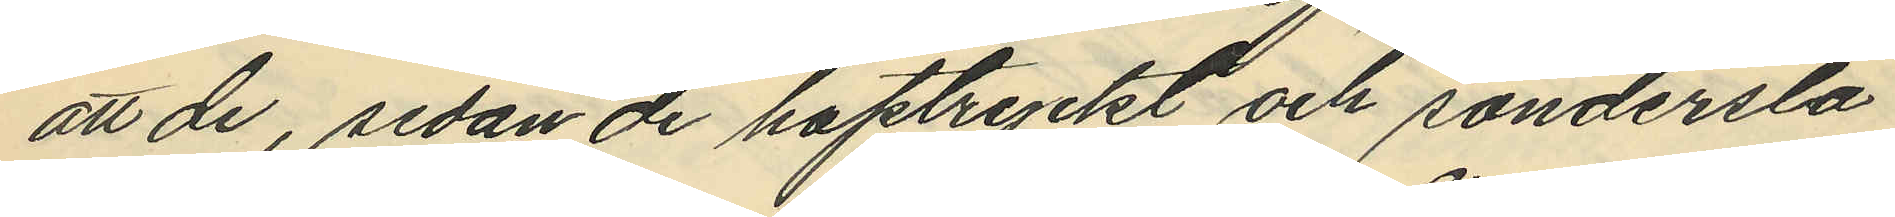att de, sedan de hoptryckt och söndersla
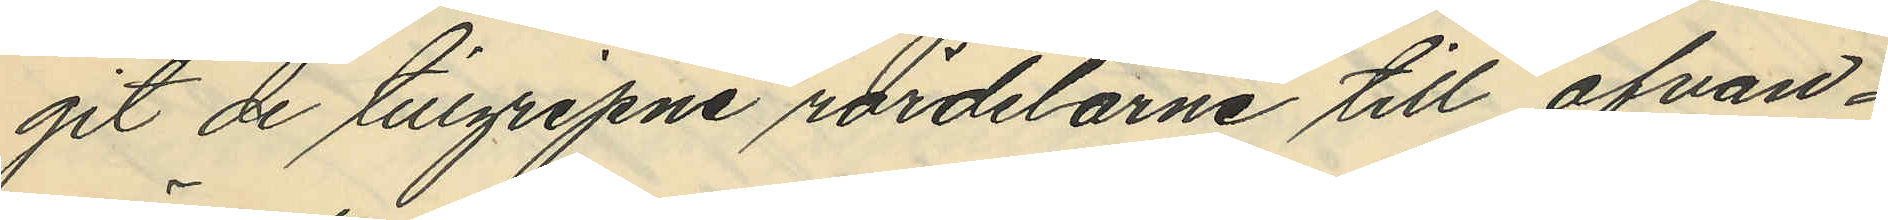git de tillgripne rördelarne till ofvan¬
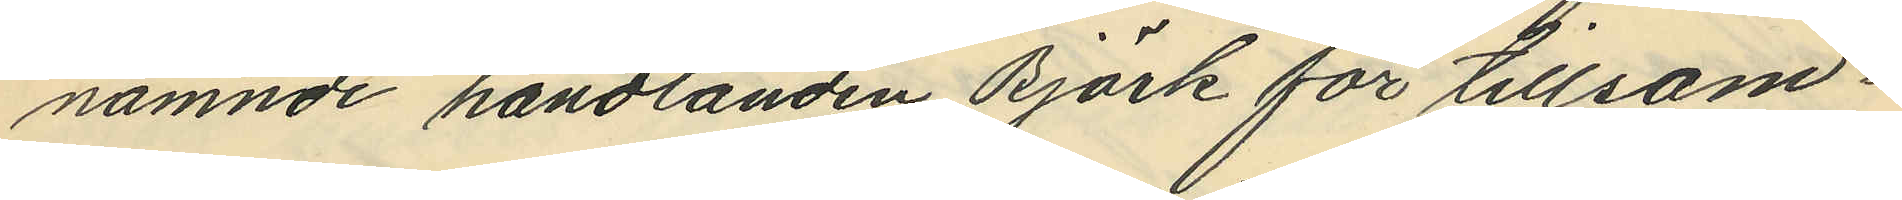nämnde handlanden Björk för tillsam¬
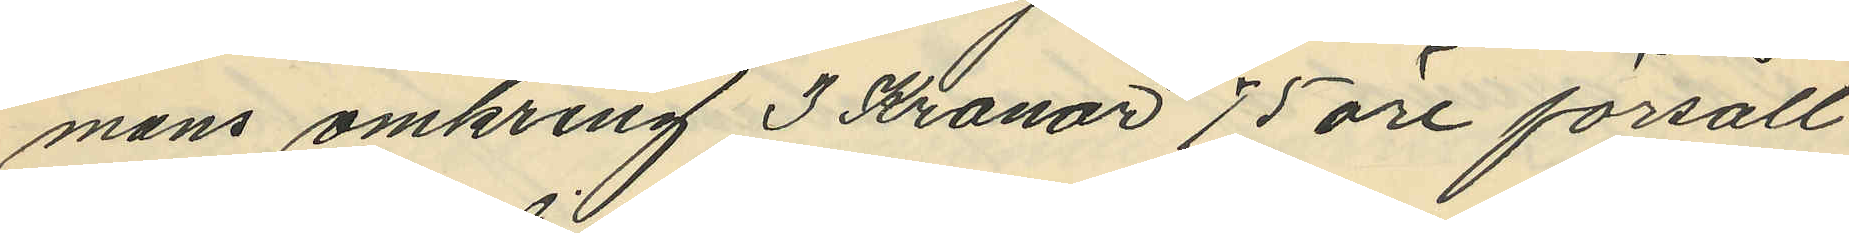mans omkring 3 Kronor 75 öre försålt
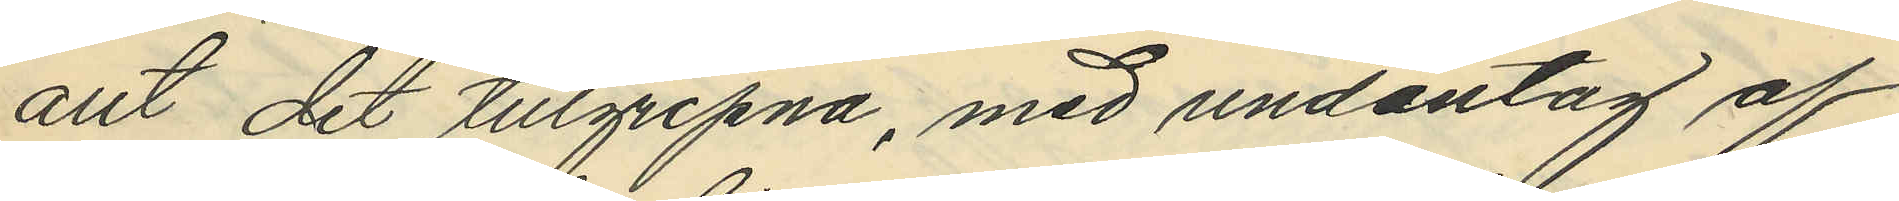allt det tillgripna, med undantag af
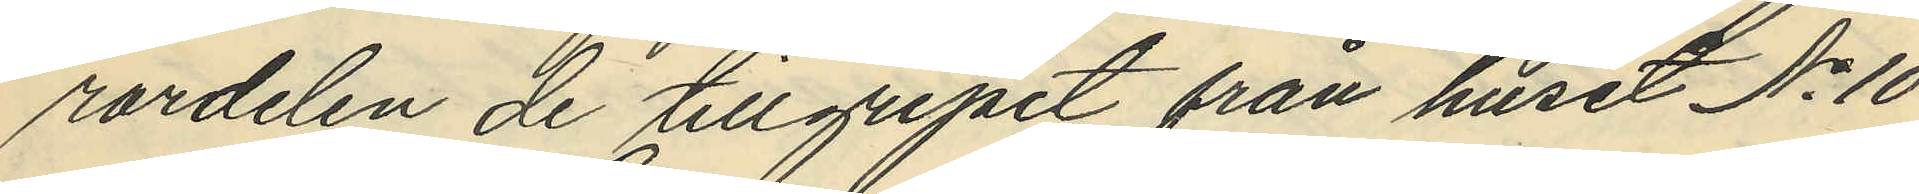rordelen de tillgripit från huset No 10
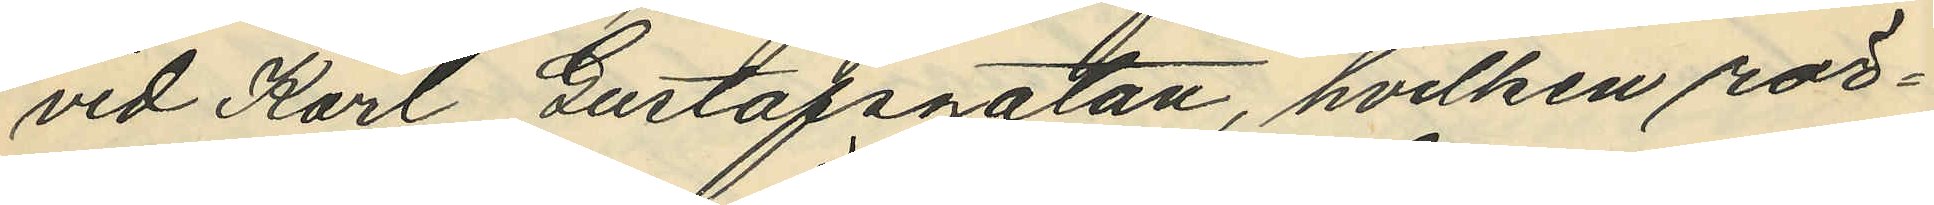vid Karl Gustafsgatan, hvilken rör¬
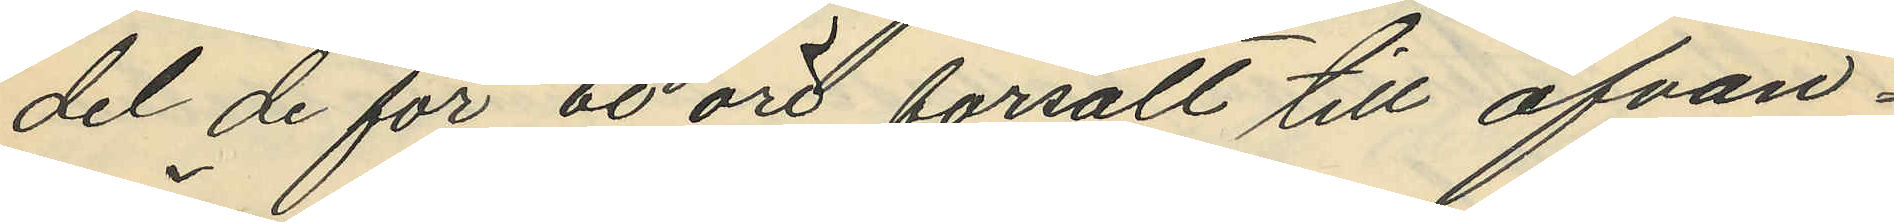del de för 60 öre försålt till ofvan¬
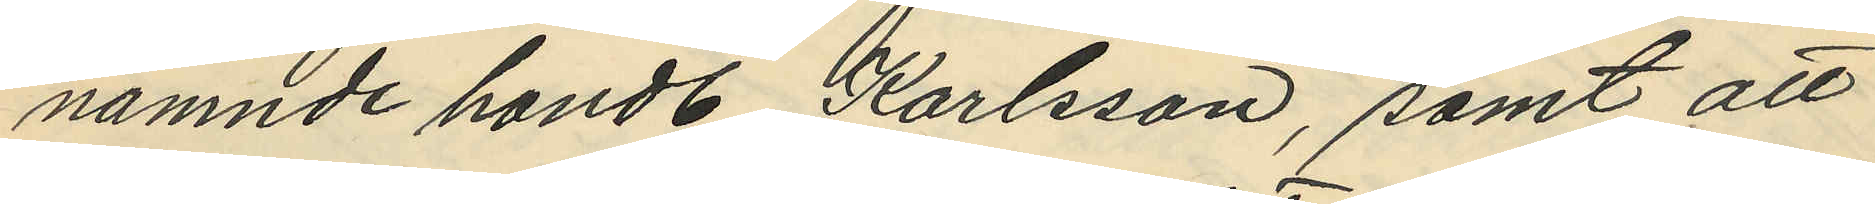nämnde handl Karlsson, samt att
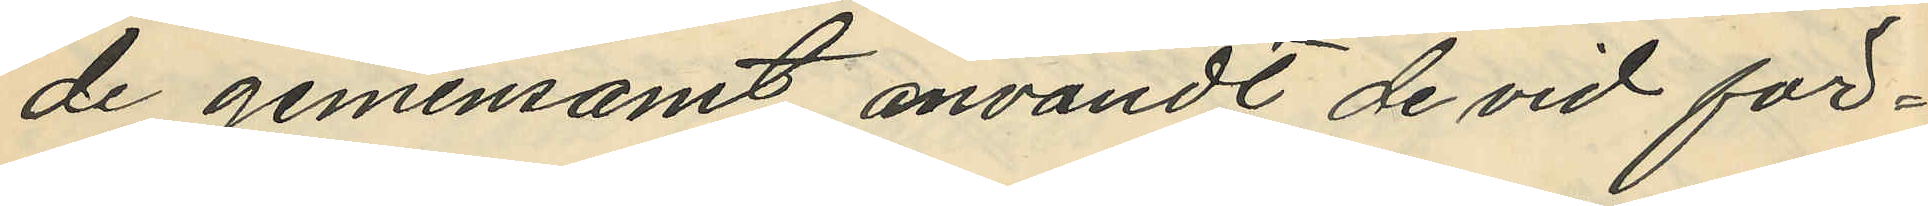de gemensamt användt de vid för¬
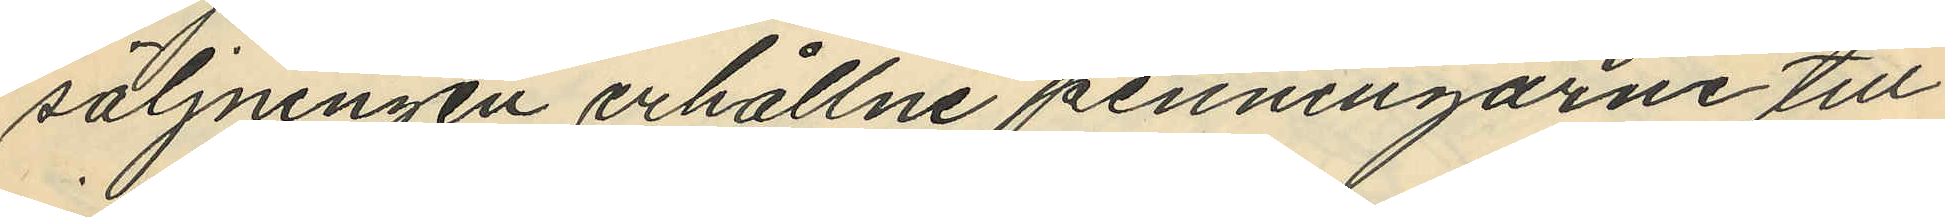säljningen erhållne penningarne till
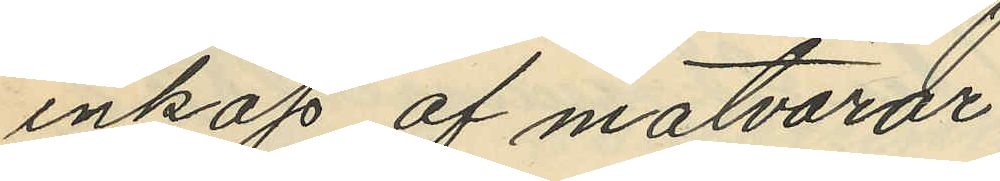inköp af matvaror.
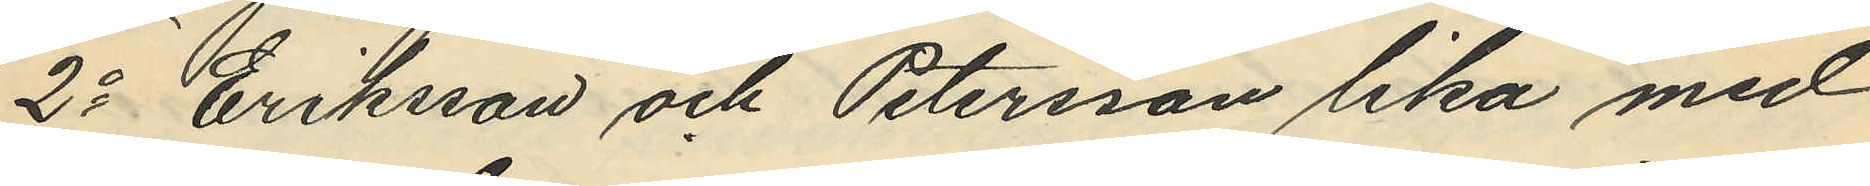2o Eriksson och Petersson lika med
